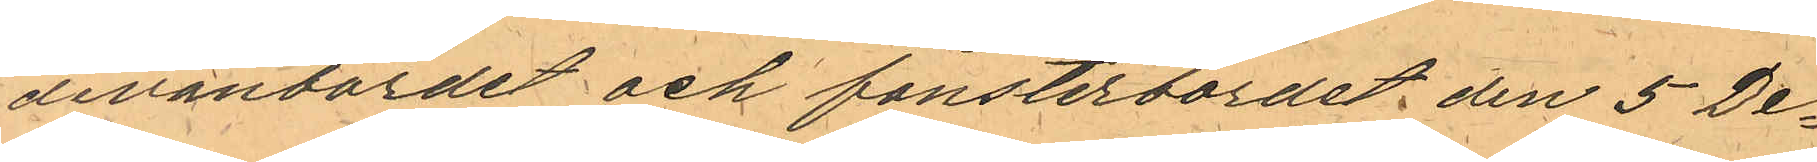divanbordet och fönsterbordet den 5 De¬
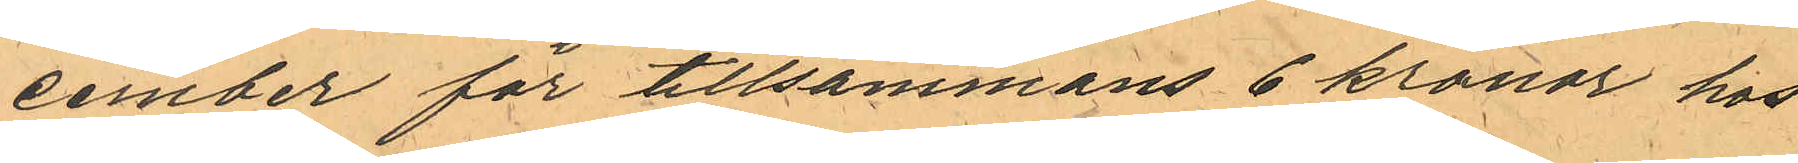cember för tillsammans 6 kronor hos
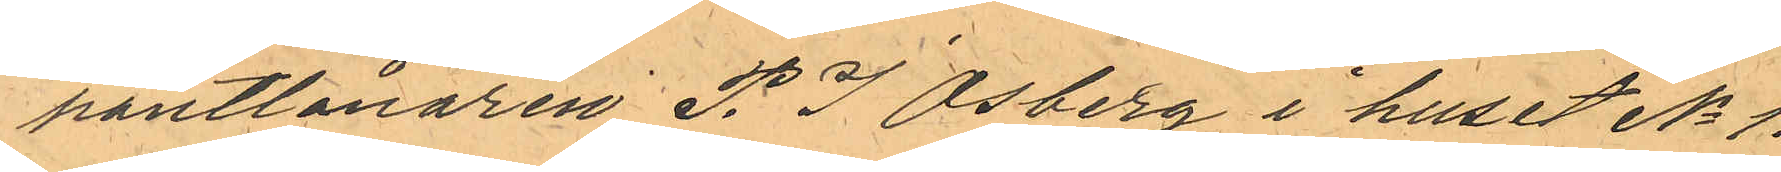pantlånaren P. J Osberg i huset No 1.
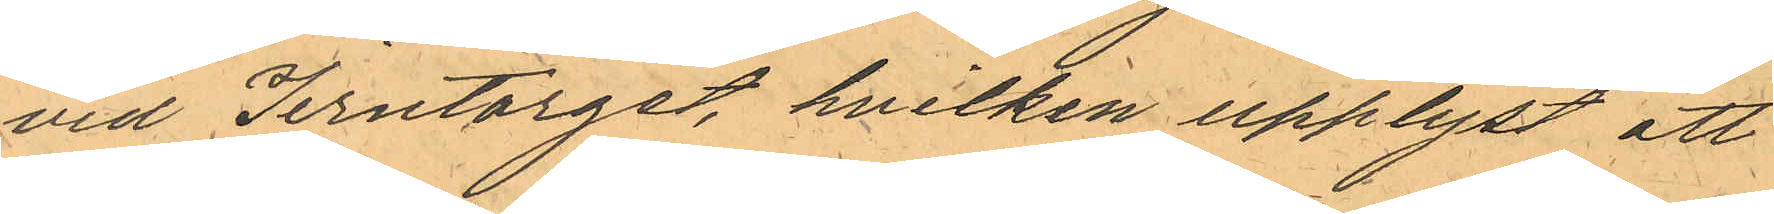vid Jerntorget, hvilken upplyst att
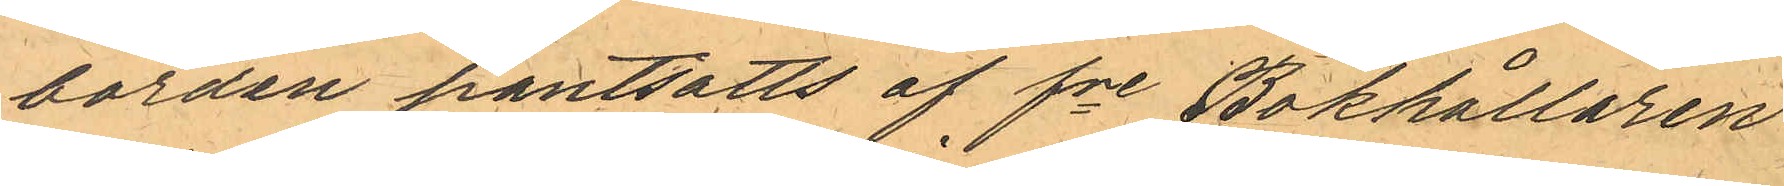borden pantsatts af fre Bokhållaren
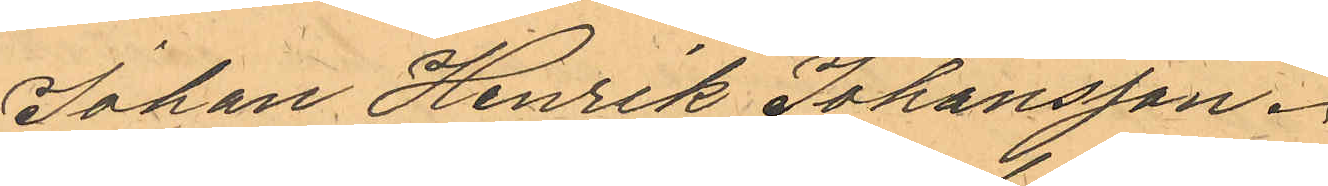Johan Henrik Johansson.
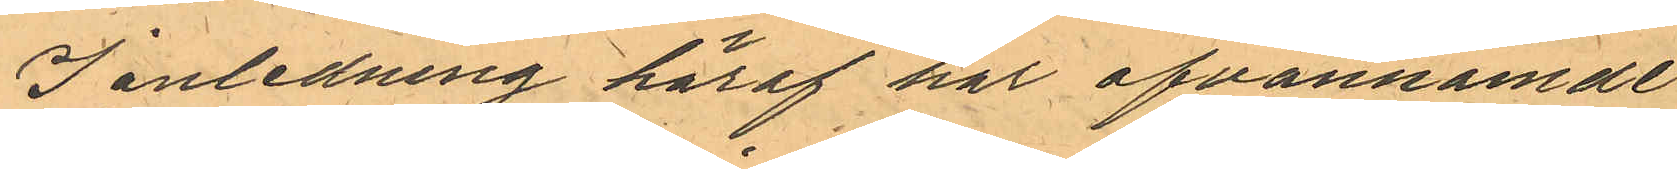I anledning häraf har ofvannämde
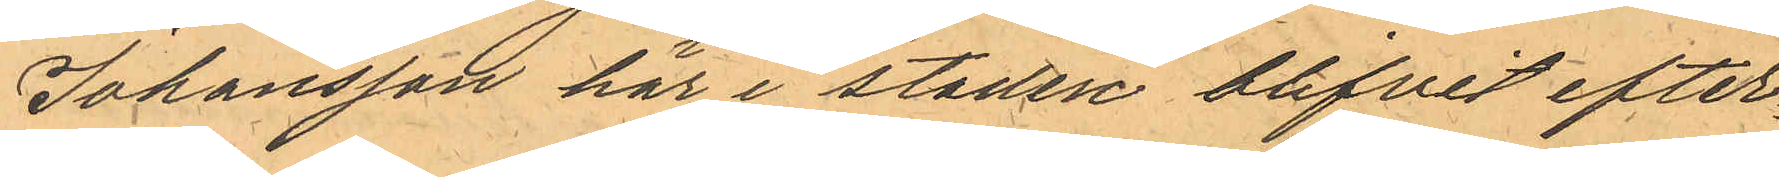Johansson här i staden blifvit efter¬
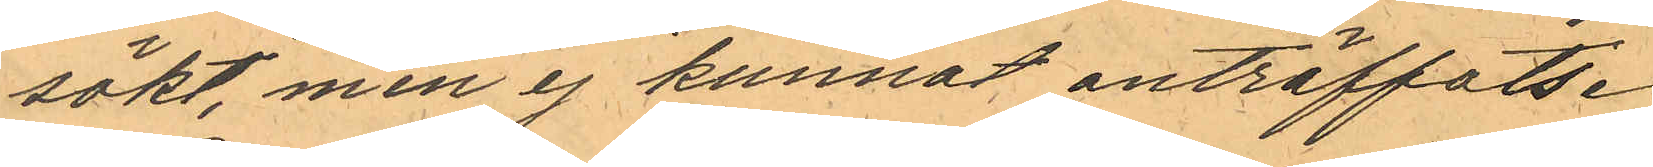sökt, men ej kunnat anträffats.
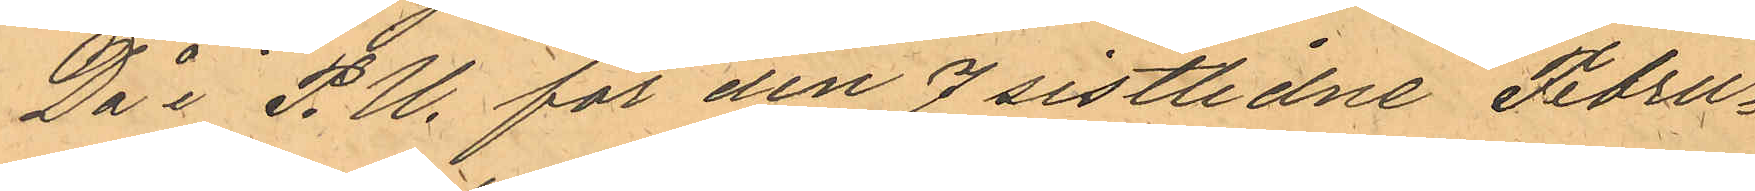Då i P.U. för den 7 sistlidne Febru¬
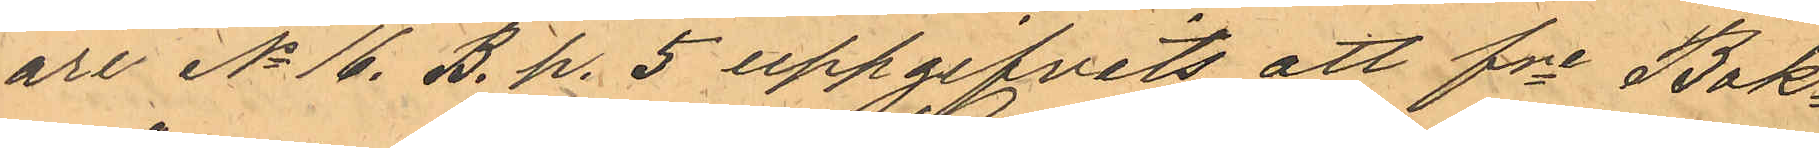are No 16 B. p. 5 uppgifvits att fre Bok¬
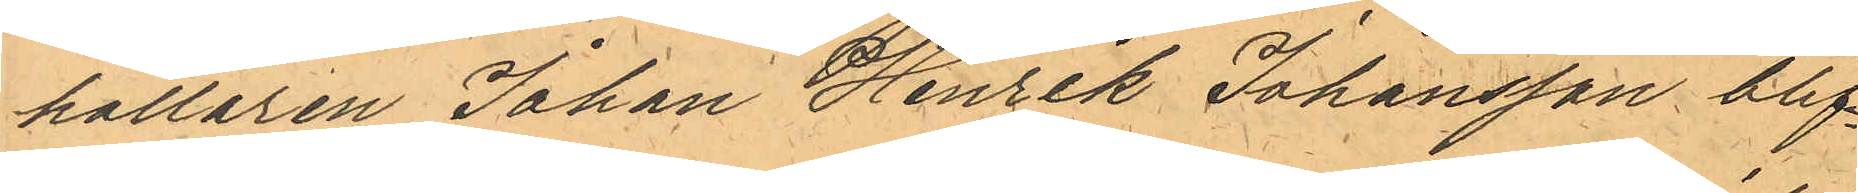hållaren Johan Henrik Johansson blif¬
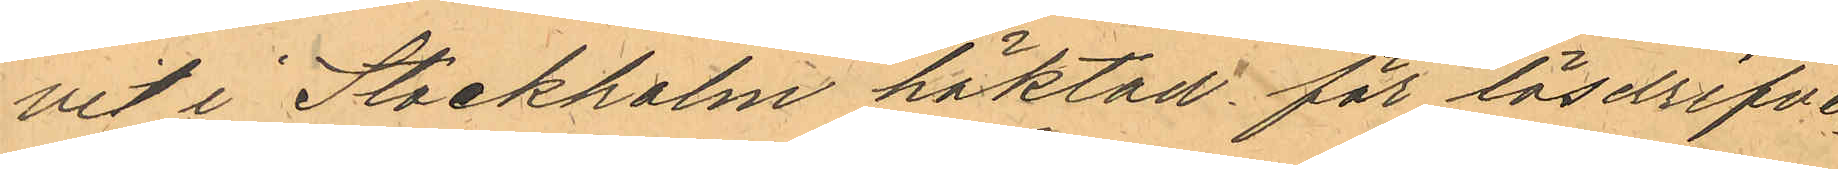vit i Stockholm häktad för lösdrifve¬
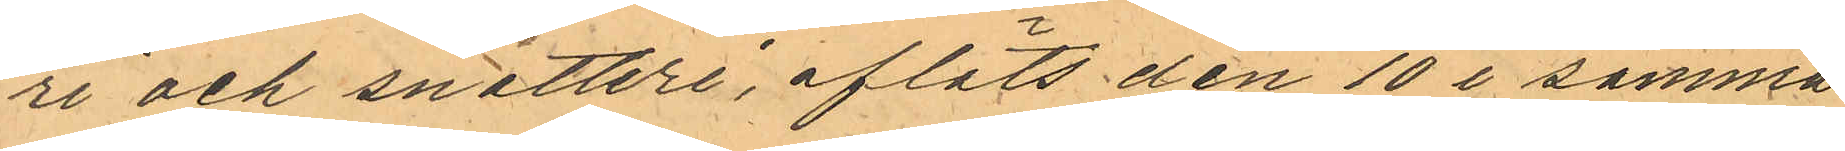ri och snatteri, afläts den 10 i samma 
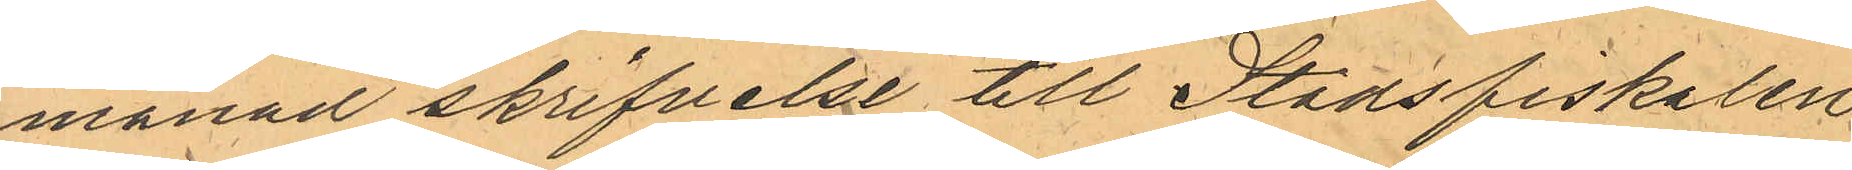månad skrifvelse till Stadsfiskalen
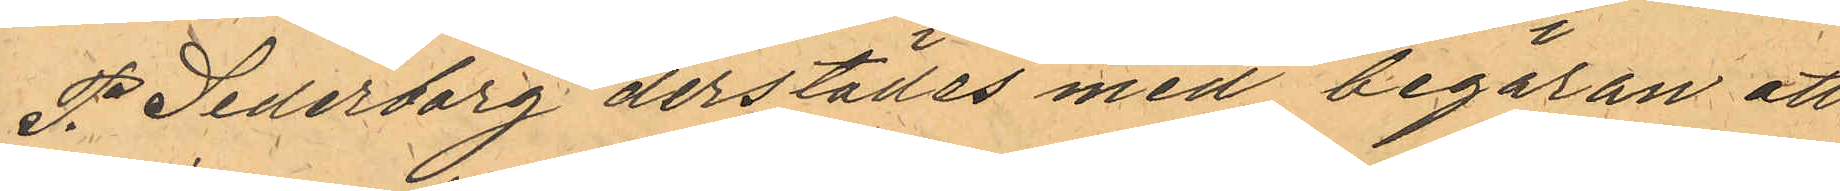P. Sederborg derstädes med begäran att
